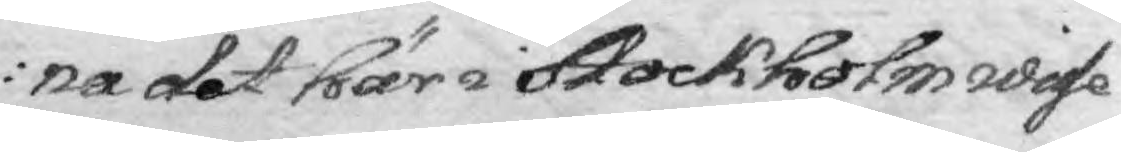na det här i Stockholm wisse
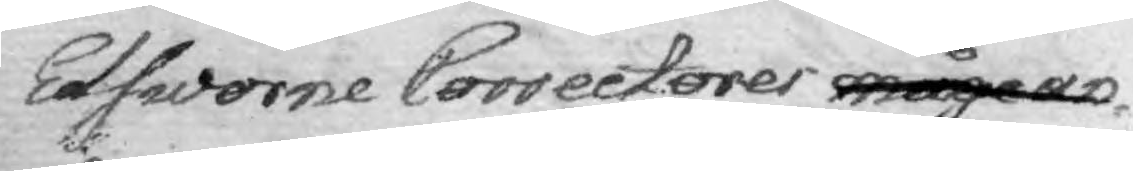Edsworne Correctorer måge an¬
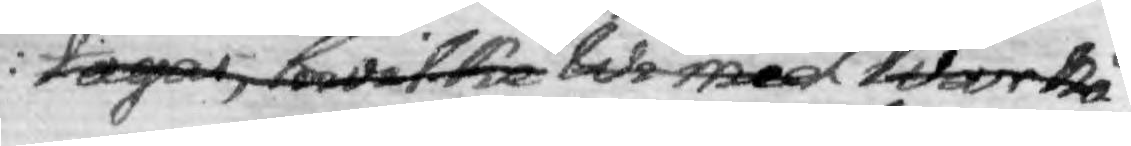tagas, hwilka Wi med Wår nå¬
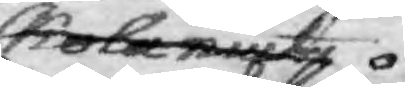skola niuta
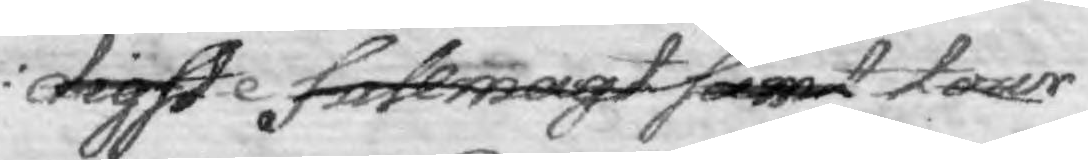digste fullmagt samt det tour
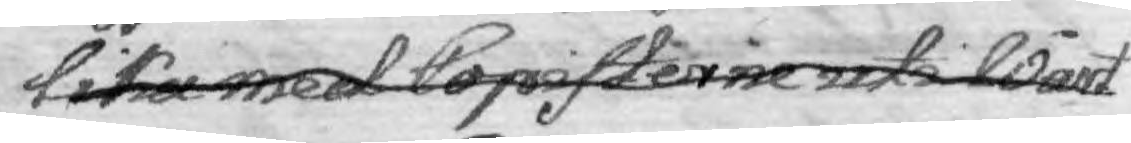lika med Copisterne uti Wårt 
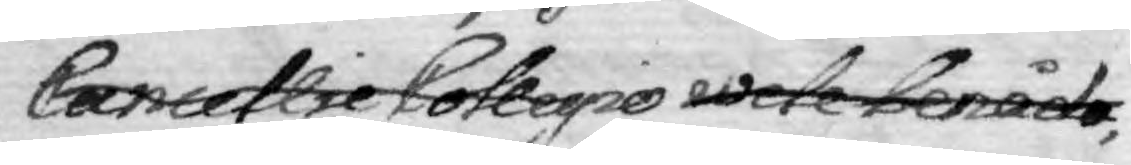Cancellie Collegio wele benåda;
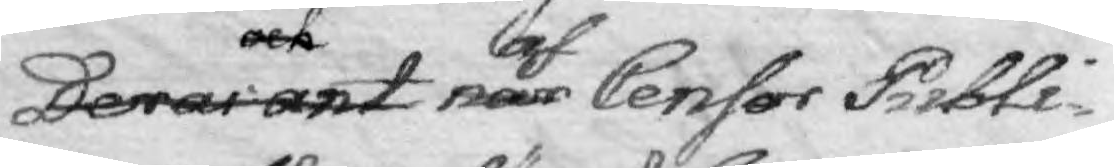Deras ant och när laf Censor Publi¬
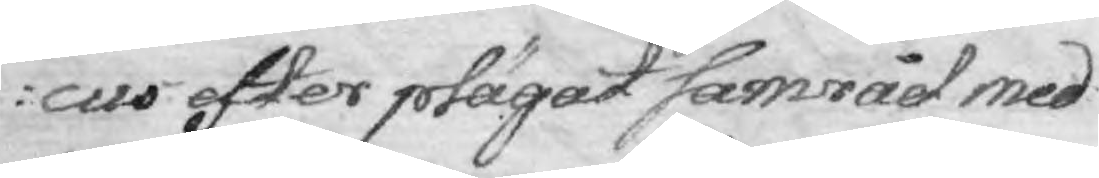cus efter plägat samråd med 
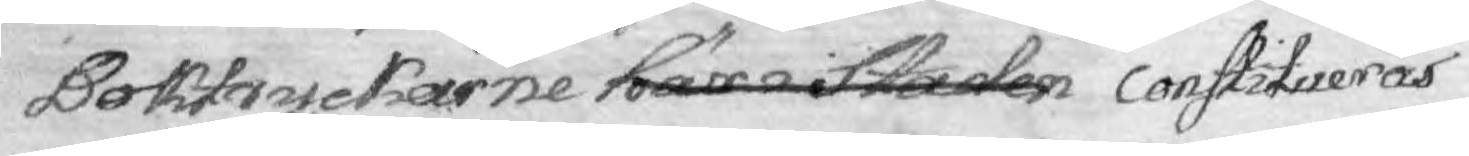Boktryckarne här i staden constitueras
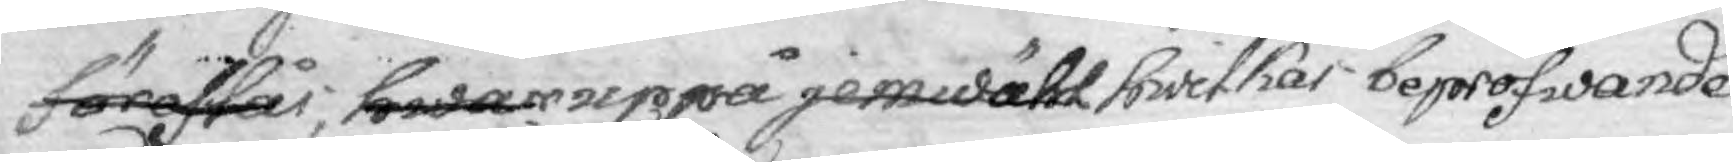förestår, hwar uppå jemwähl hwilkas bepröfwade
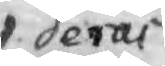deras
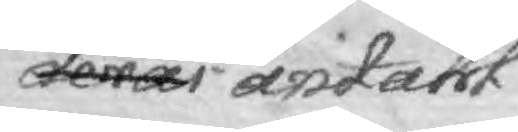deras antahl
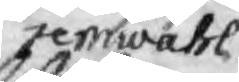jemwähl
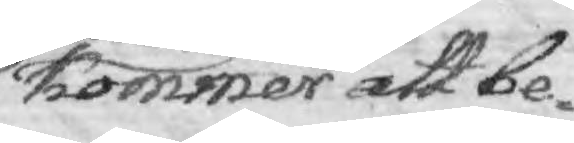kommer att be¬
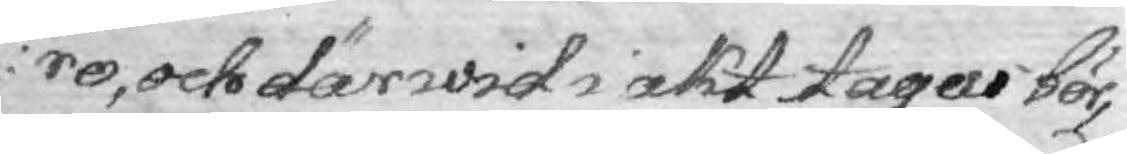ro, och därwid i akt tages bör,
